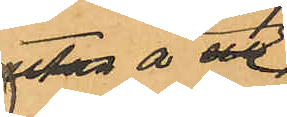å 
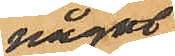något
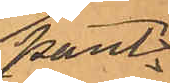Pant¬
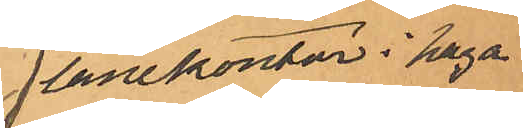lånekontor i Haga
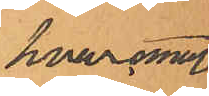hvaremot
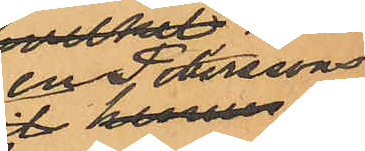Peterssons
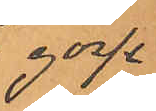gosse
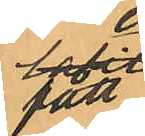sit
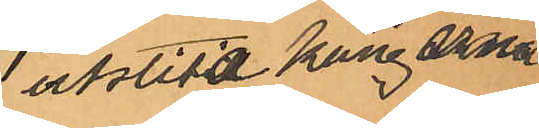utslitit kängorna,
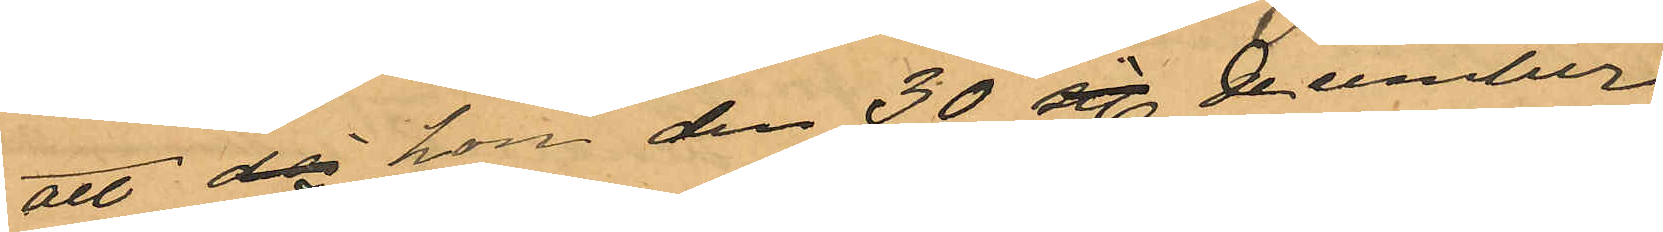att då hon den 30 st December
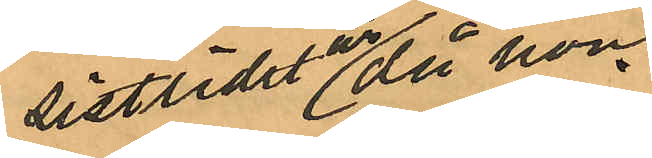sistlidn år då hon
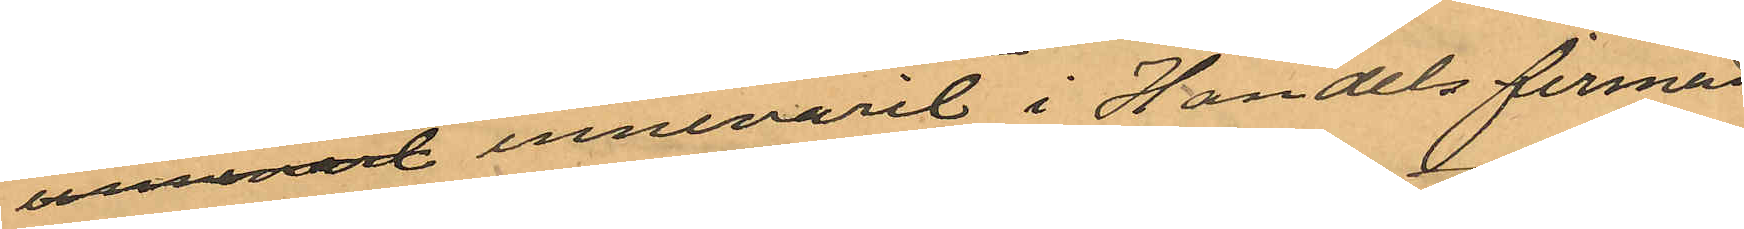unmenad innevarit i Handels firman
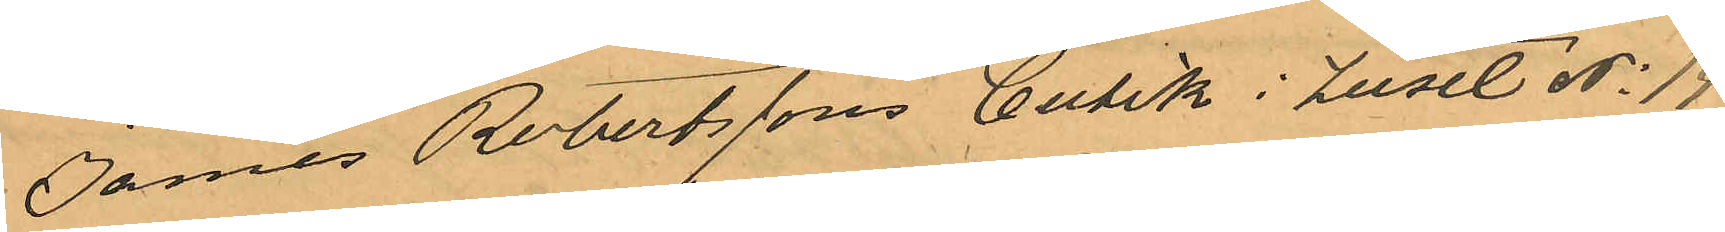James Robertssons butik i huset No 14
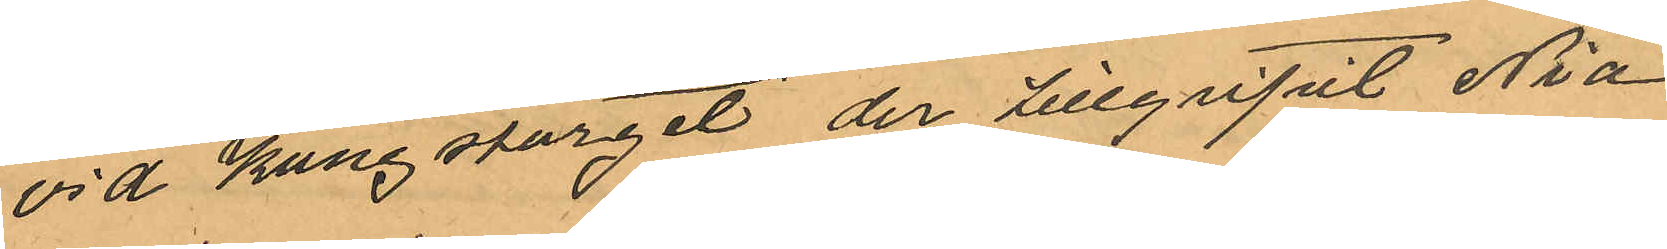vid Kungstorget der tillgripit nio
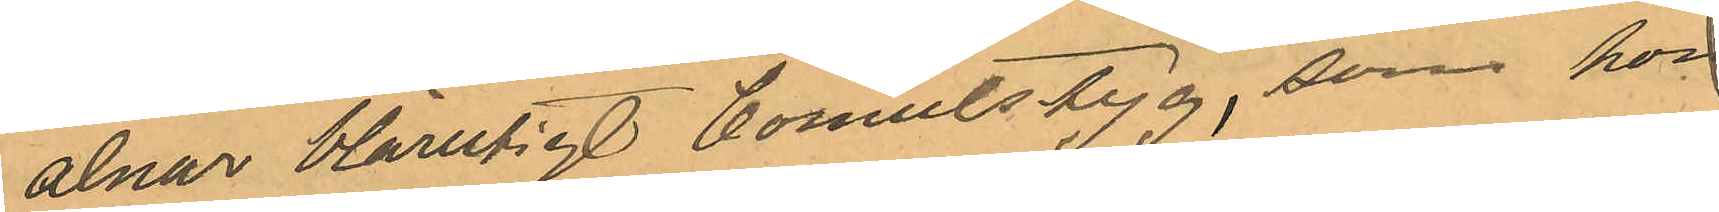alnar blårutig bomuls tyg, som hon
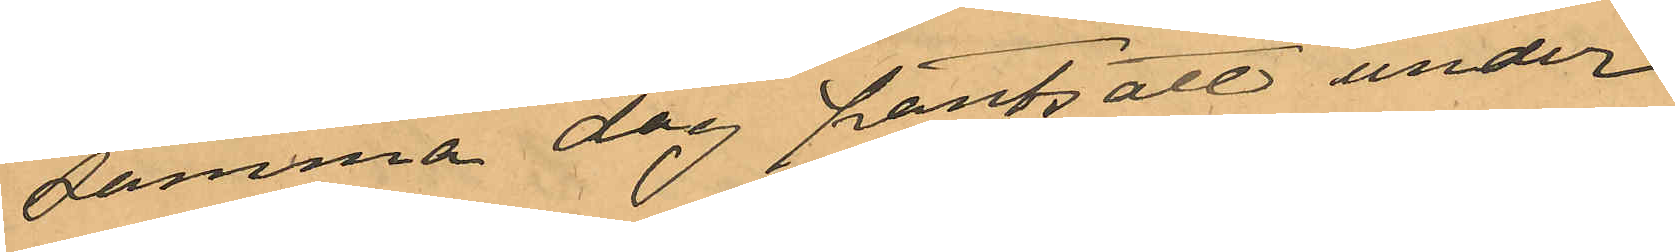samma dag pantsatt under
